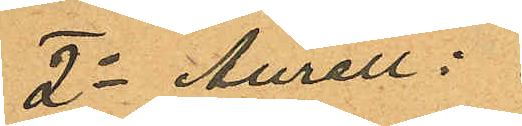2o Aurell:
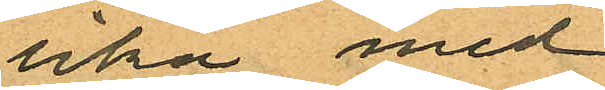lika med
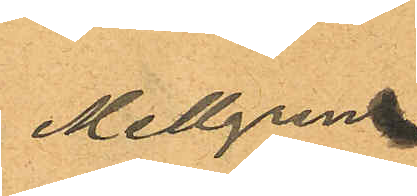Mellgren
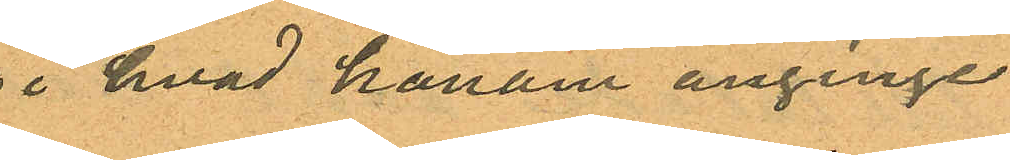i hvad honom anginge
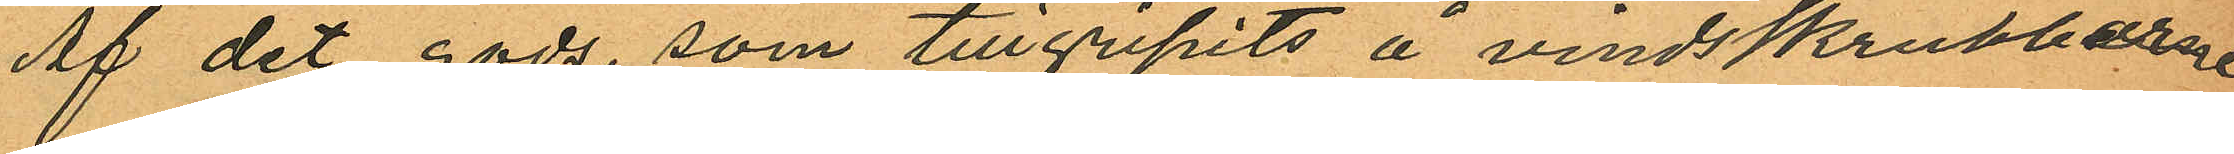Af det gods, som tillgripits å vindsskrubbarne
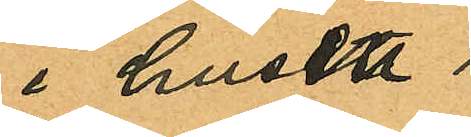i huset
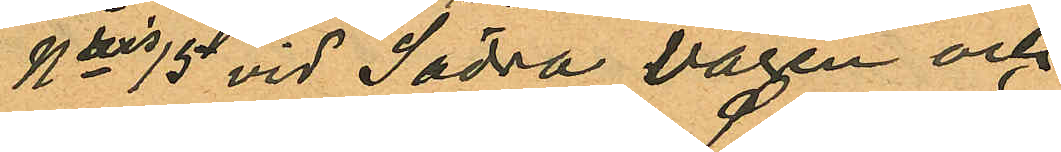Nris 15 vid Södra Vägen och
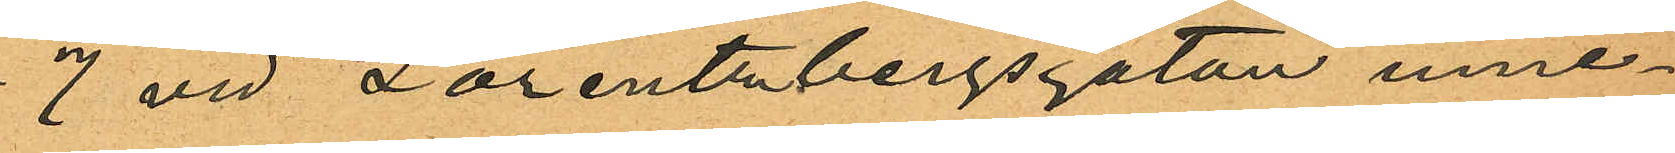7 vid Lorentzbergsgatan inne¬
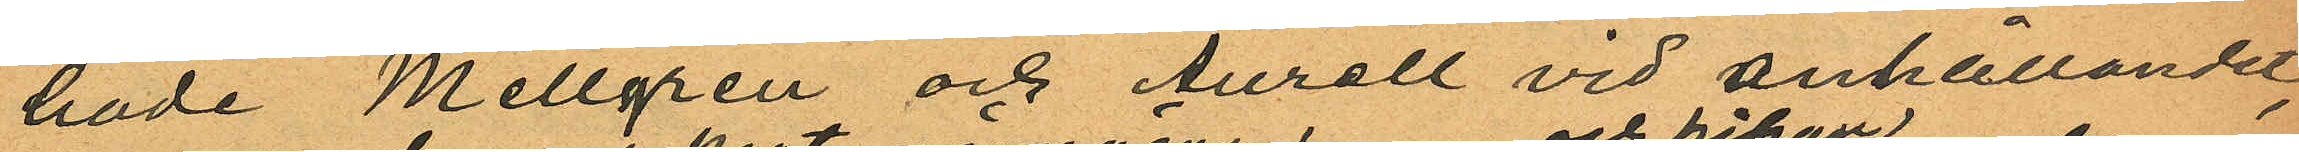hade Mellgren och Aurell vid anhållandet,
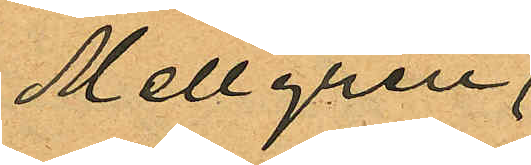Mellgren
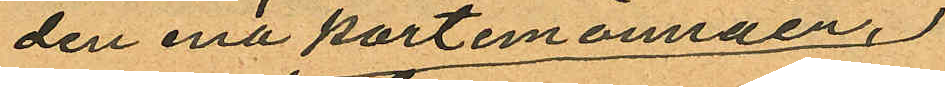den ena portemonnäen,
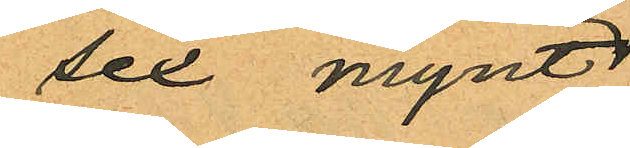sex mynt
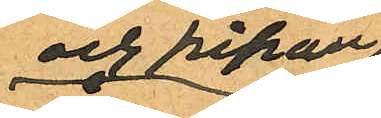och pipan
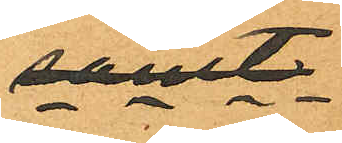samt
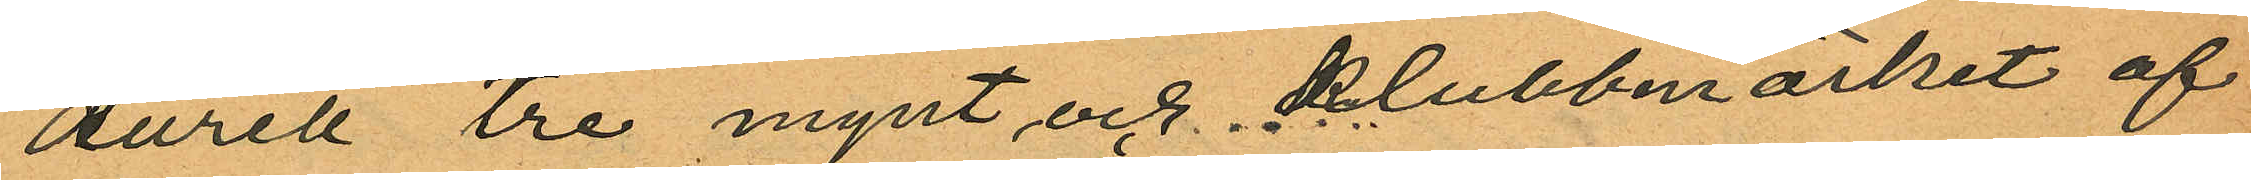Aurell tre mynt och klubbmärket af
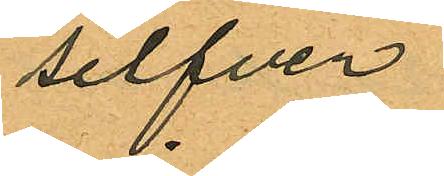silfver.
